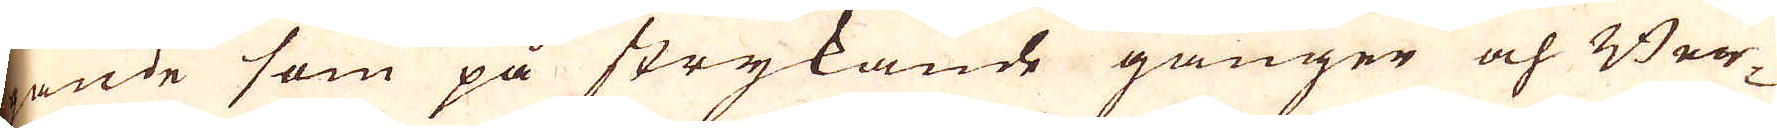gande som på strykande gånger och Ber-
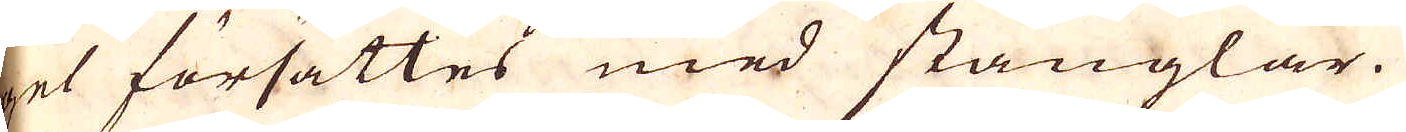get försättes med stänglar.
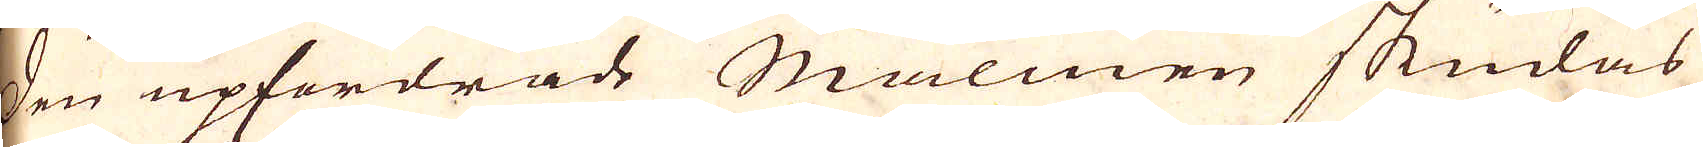Den upfordrade Malmen skudas
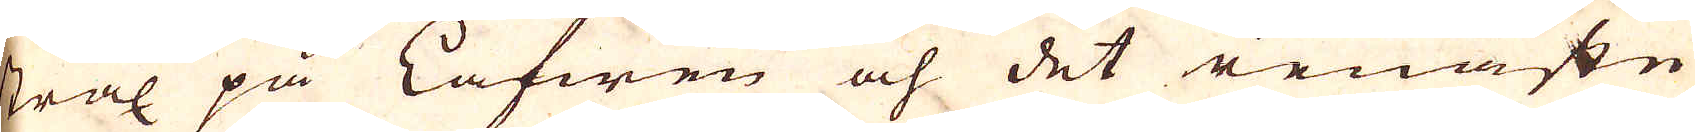strax på Lafwen och det renaste
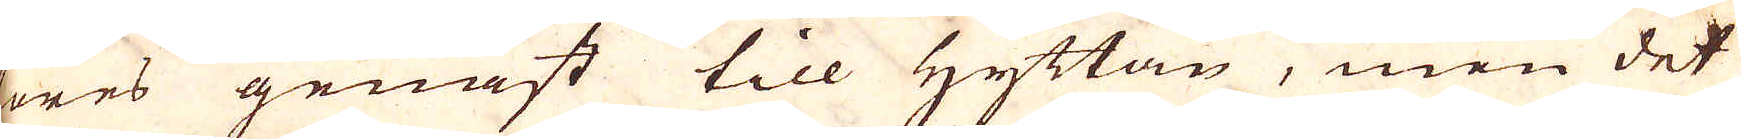föres genast till Hyttan, men det
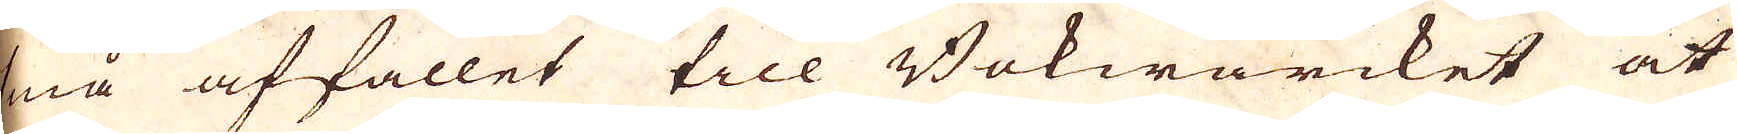små affallet till Bokwärcket at
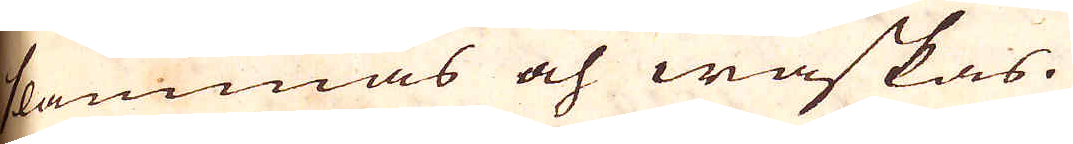slammas och waskas.
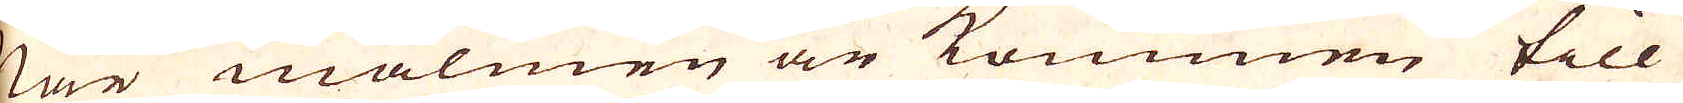När malmen är kommen till
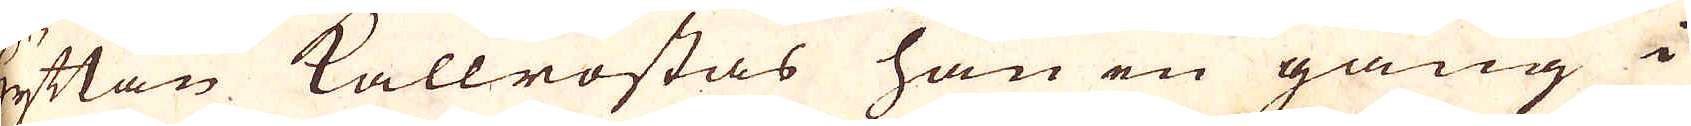hyttan kallrostas han en gång i
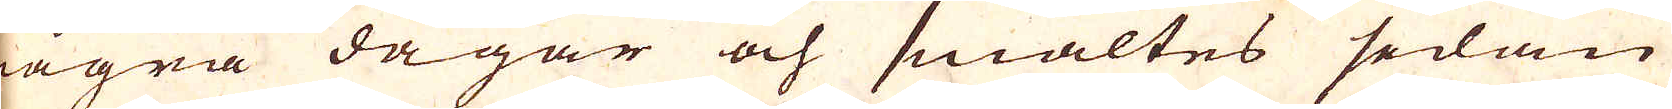några dagar och smältes sedan
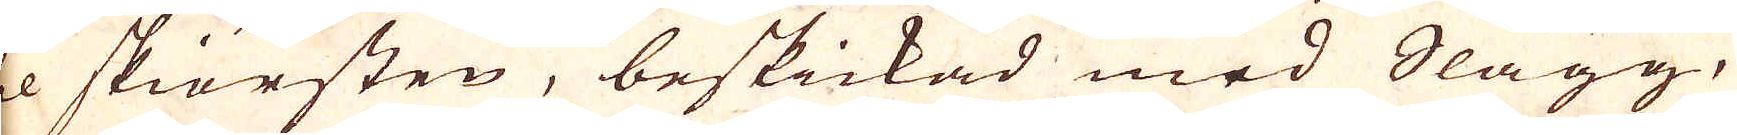til skiörsten, beskickad med Slagg,
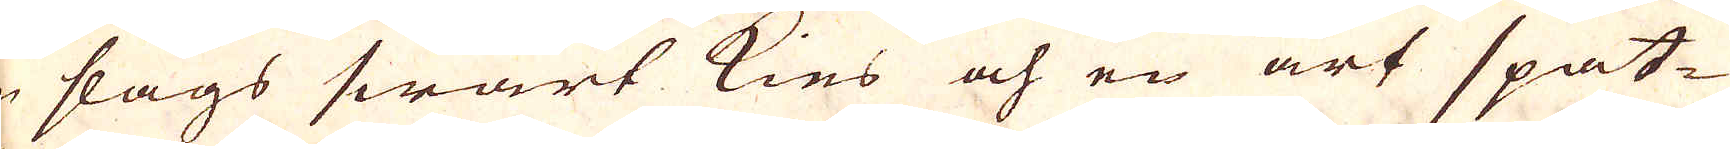en slags swart kies och en art spat-
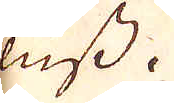fluss.
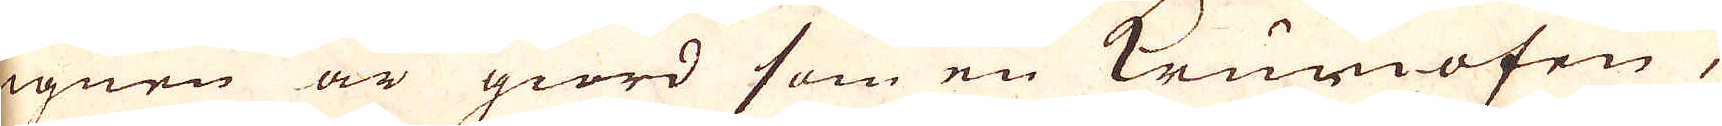Ugnen är giord som en Krumofen,
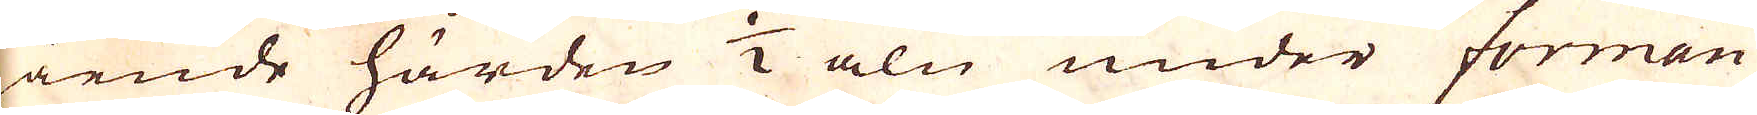gående härden 1/2 aln under forman
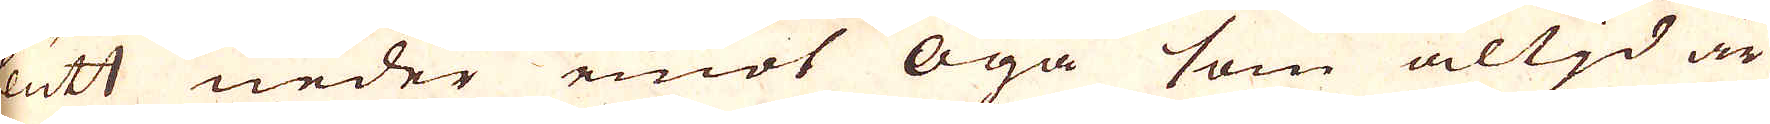slutt neder emot Öga som altjd är
